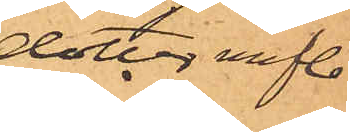dotter m fl.
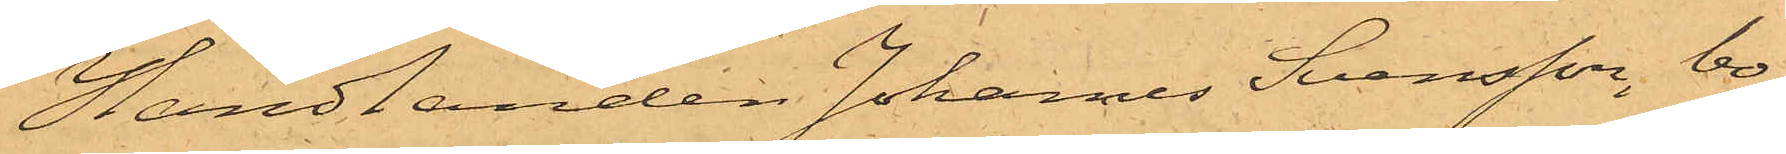Handlanden Johannes Svensson, bo¬
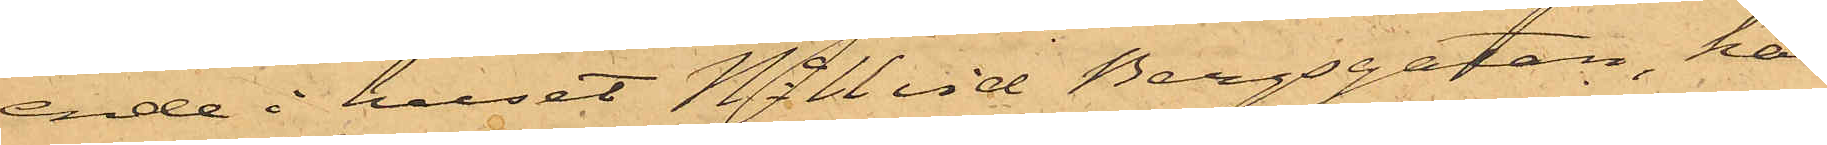ende i huset No 11 vid Bergsgatan, har
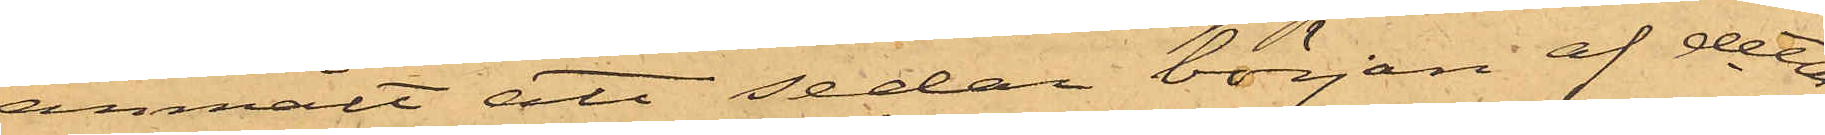anmält att sedan början af detta
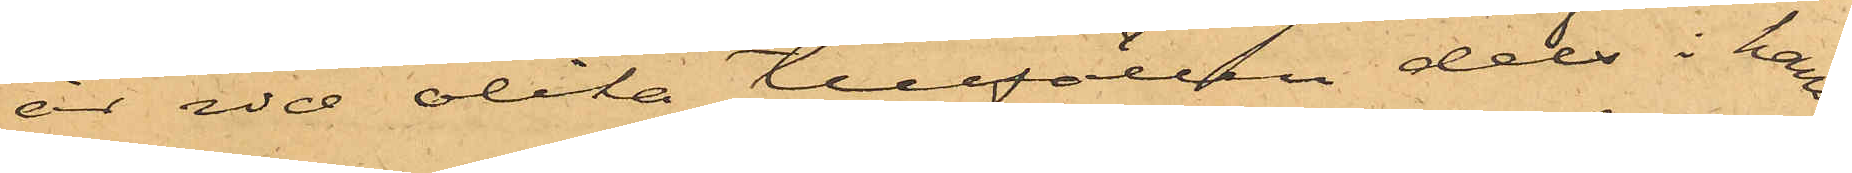år vid olika tillfällen dels i hans
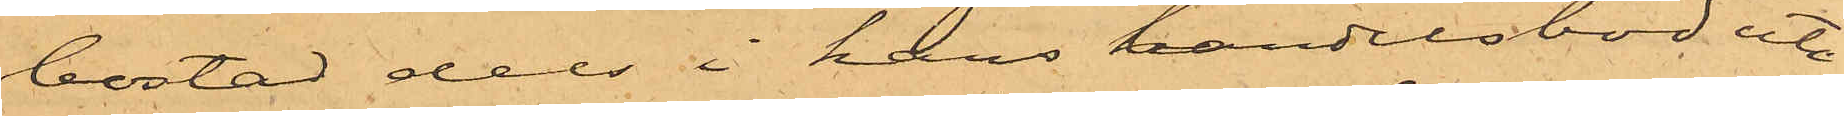bostad dels i hans handelsbod uti
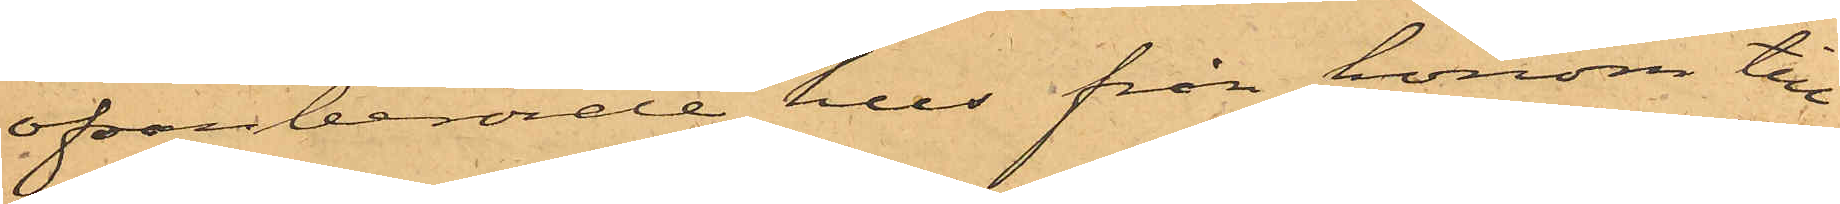ofvanberörde hus från honom till¬
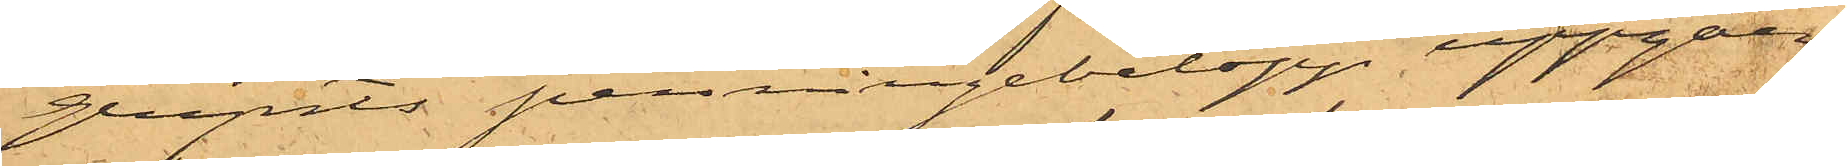gripits penningebelopp uppgåen¬
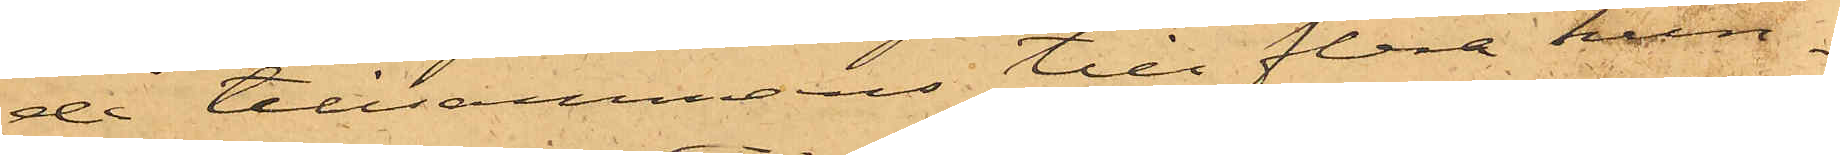de tillsammans till flera hun¬
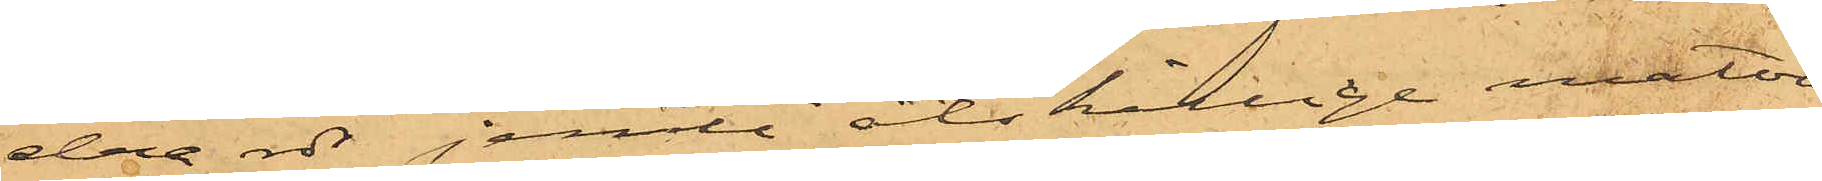dra rdr jemte åtskillige matva¬
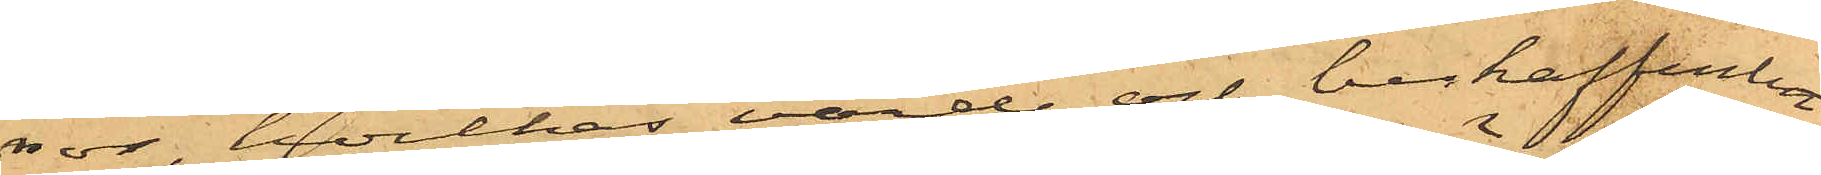ror, hvilkas värde och beskaffenhet
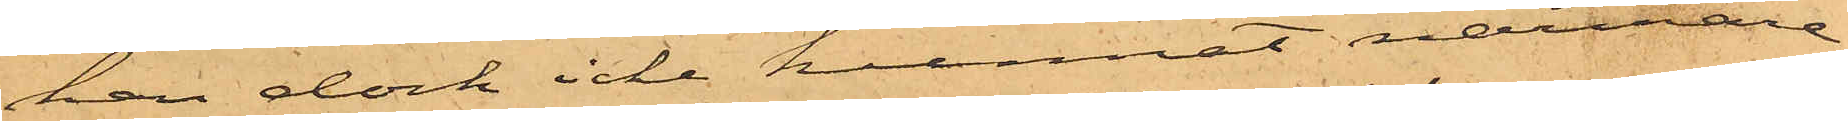han dock icke kunnat närmare
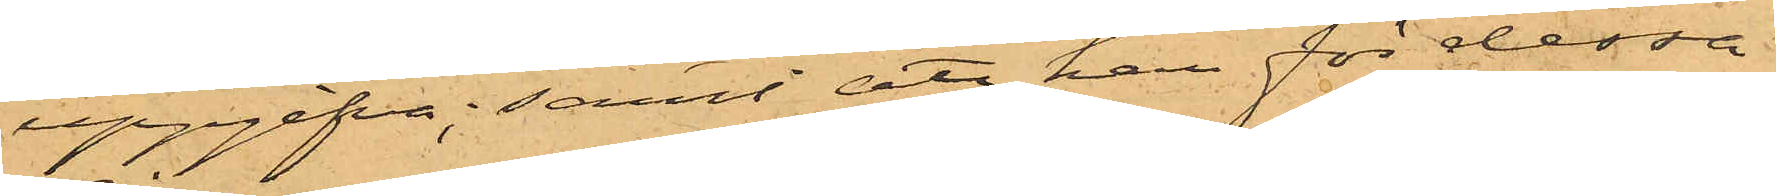uppgifva; samt att han för dessa
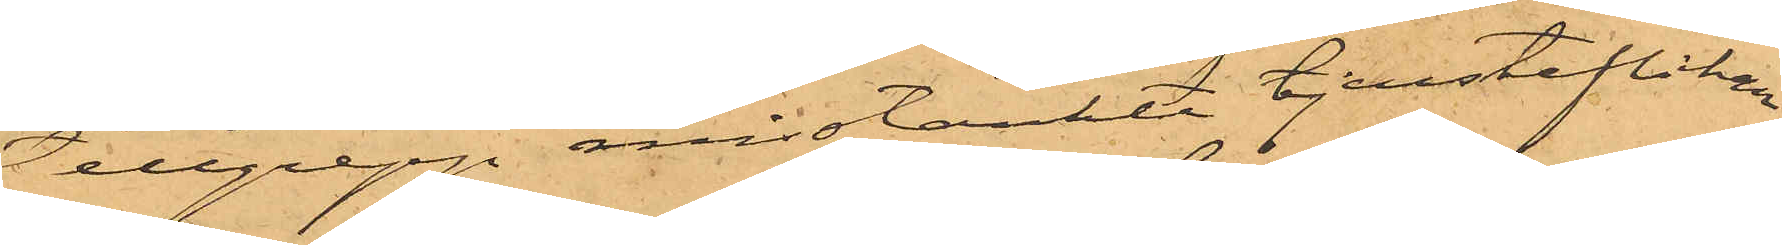tillgrepp misstänkte tjensteflickan
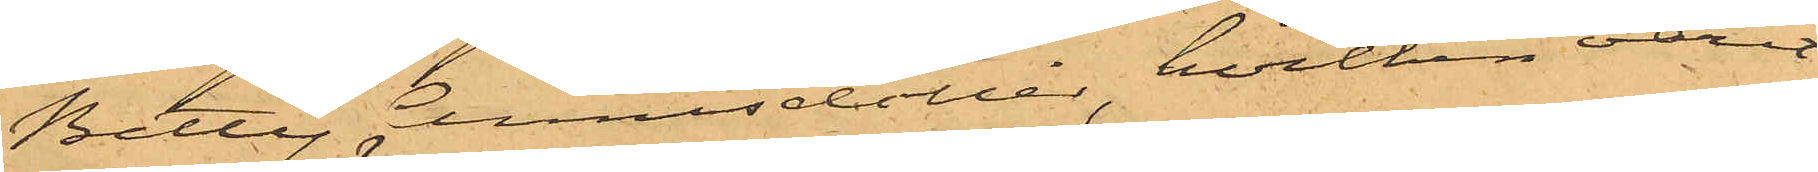Betty Annisdotter, hvilken varit
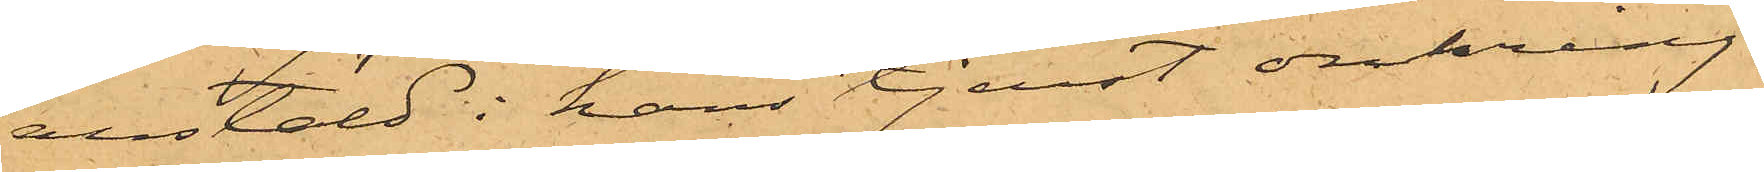anstäld i hans tjenst omkring
